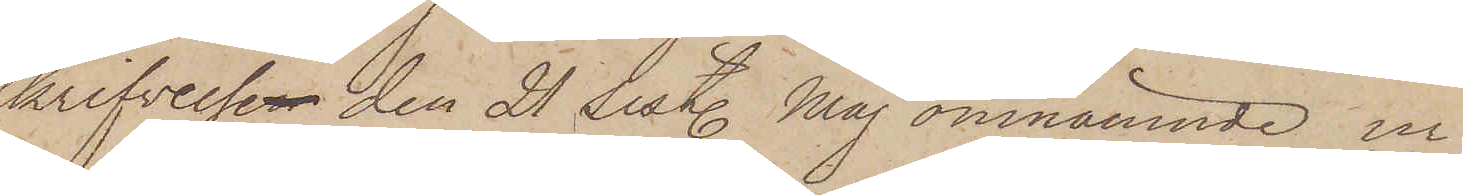skrifvelse den 21 sist. Maj omnämnde ur
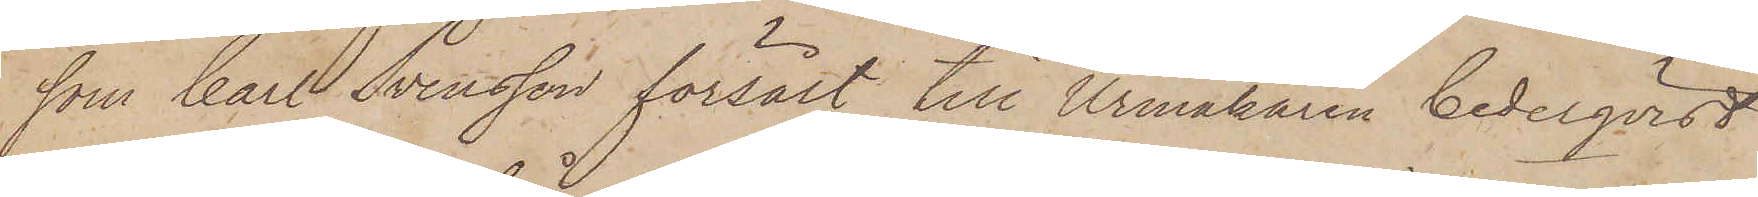som Carl Svensson försålt till Urmakaren Cederqvist
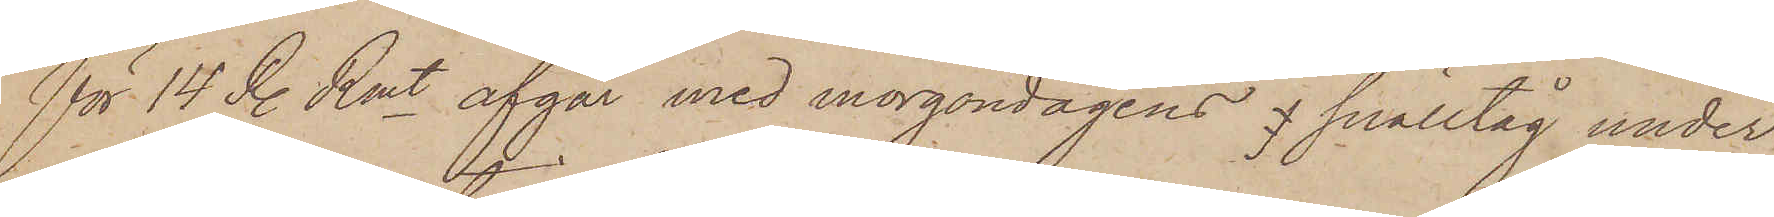för 14 R. Rmt afgår med morgondagens snälltåg under
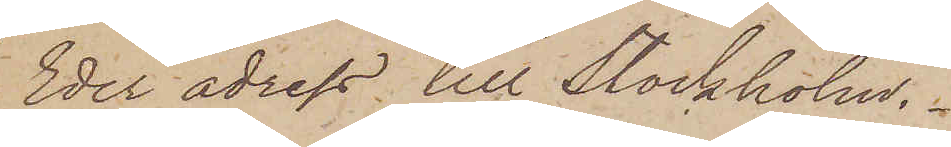Eder adress till Stockholm.
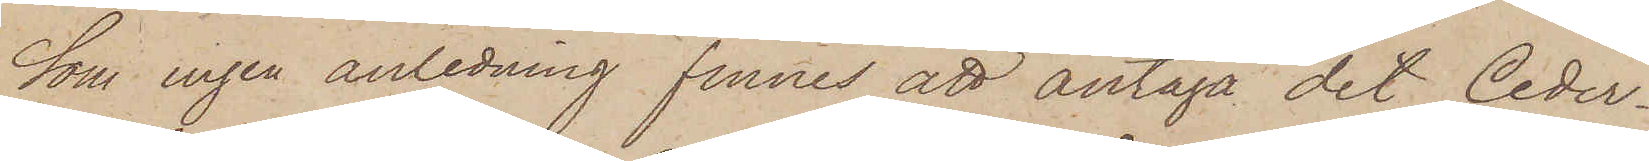Som ingen anledning finnes att antaga det Ceder¬
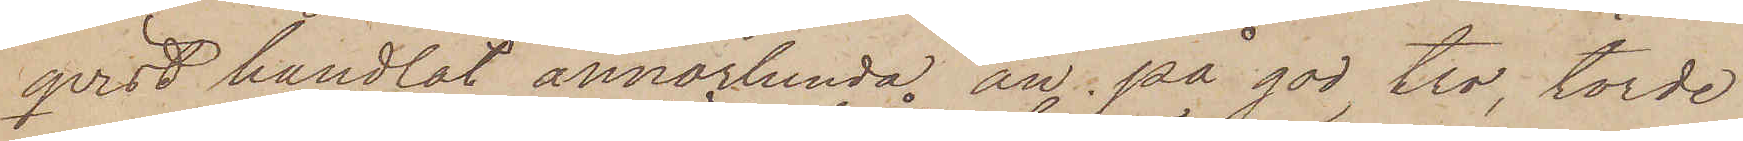qvist handlat annorlunda än på god tro, torde
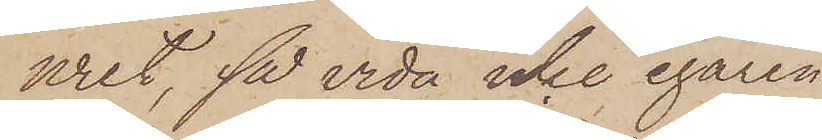uret, så vida icke egaren
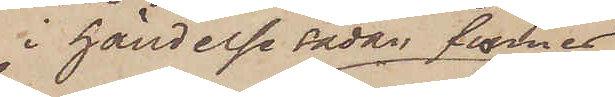i händelse sådan finnes
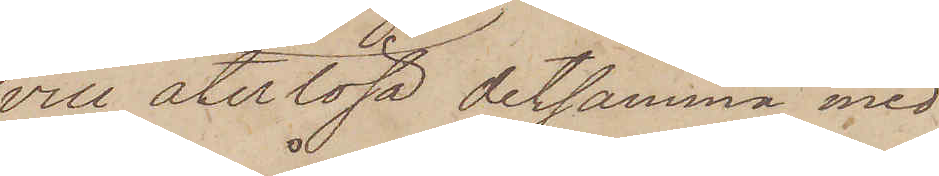vill återlösa detsamma med
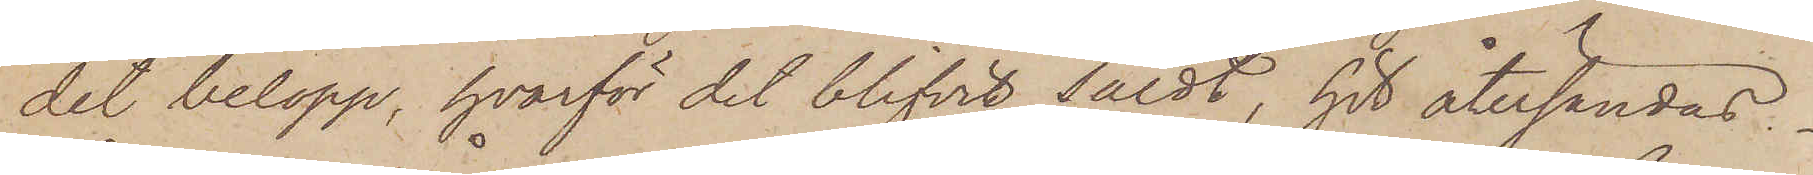det belopp, hvarför det blifvit såldt, hit återsändas.
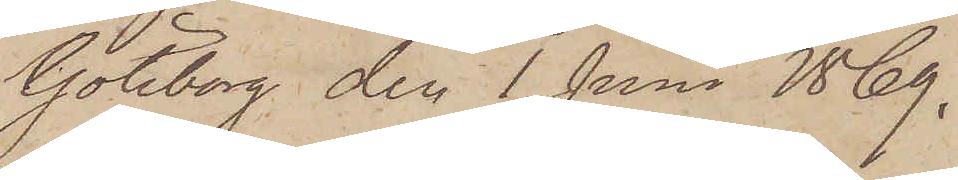Göteborg den 1 Juni 1869.
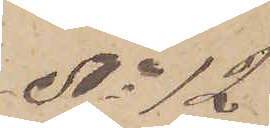No 12
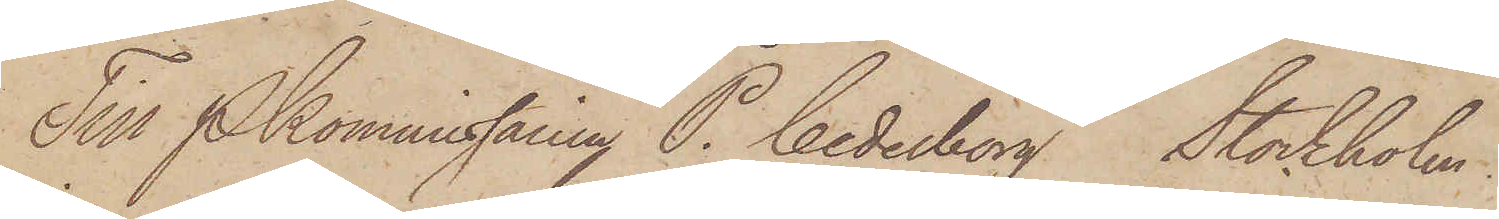Till Pkommissarien P. Cederborg Stockholm.
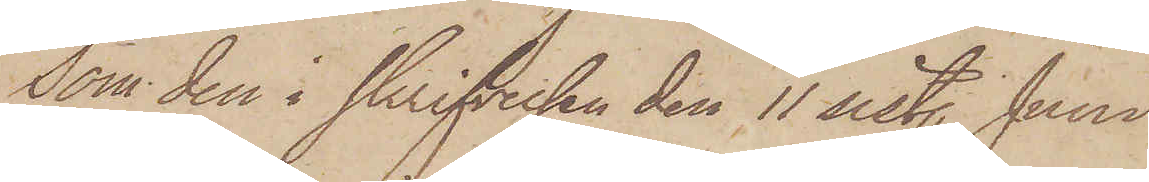Som den i skrifelsen den 11 sist. Juni
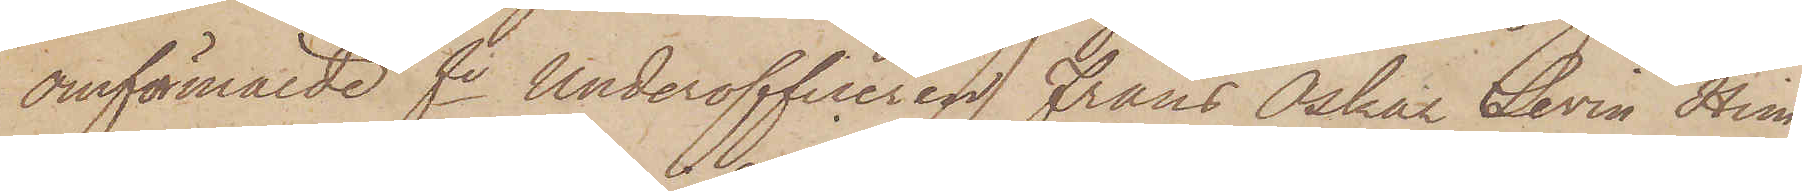omförmälde fe Underofficeren Frans Oskar Levin Him¬
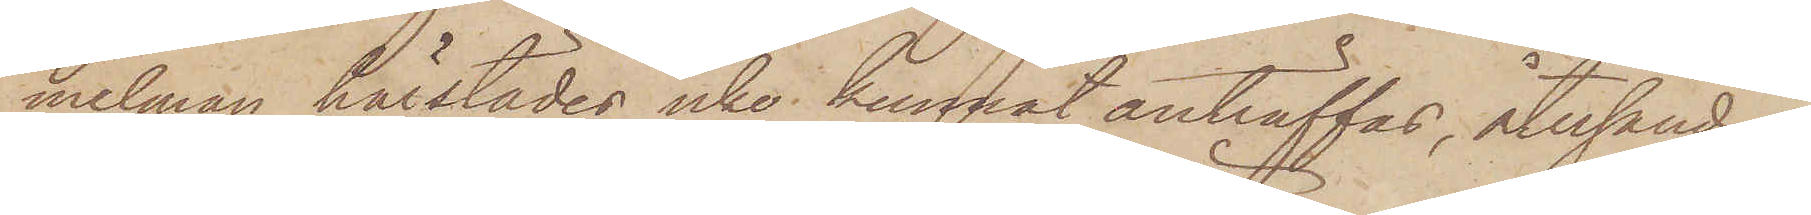melman härstädes icke kunnat anträffas, återsändes
